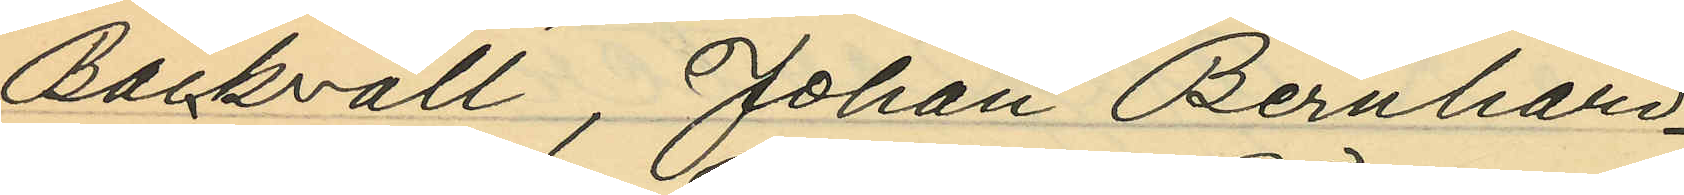Bäckvall, Johan Bernhard
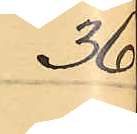36
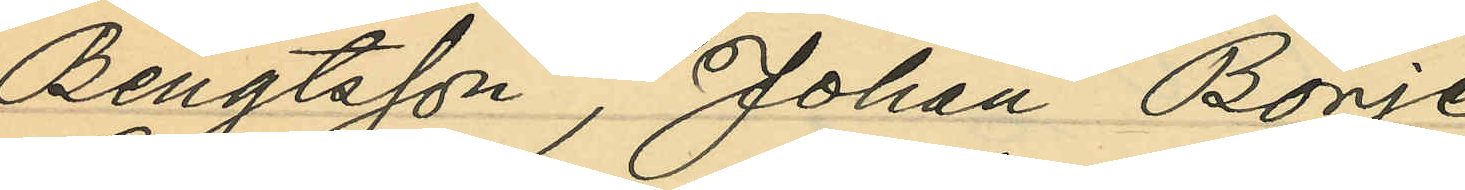Bengtsson, Johan Börje
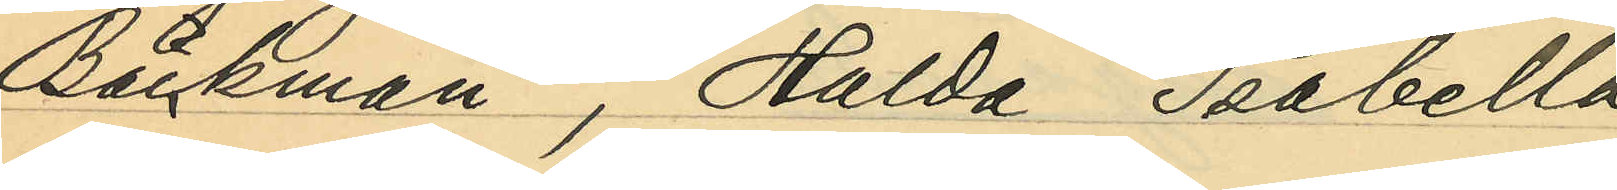Bäckman, Hulda Isabella
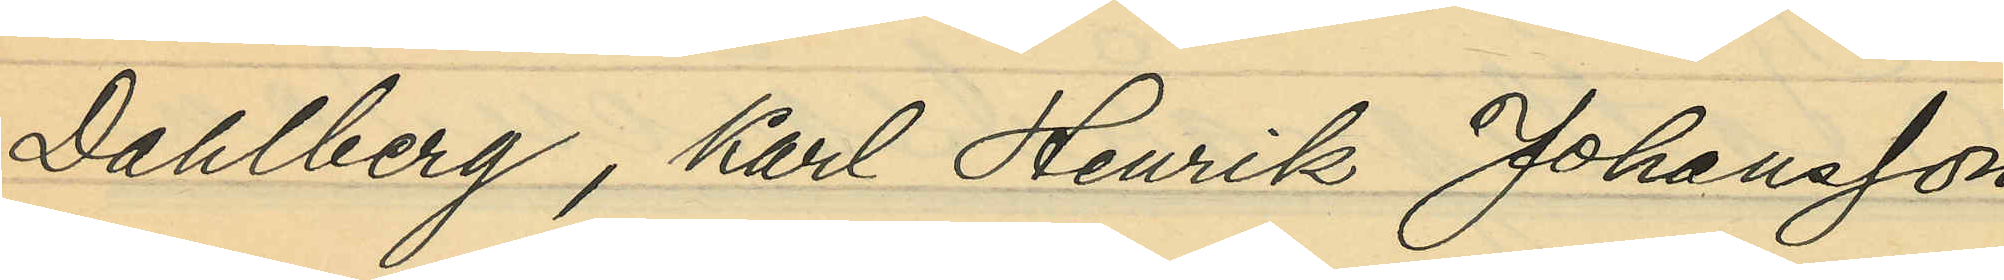Dahlberg, Karl Henrik Johansson
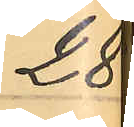28
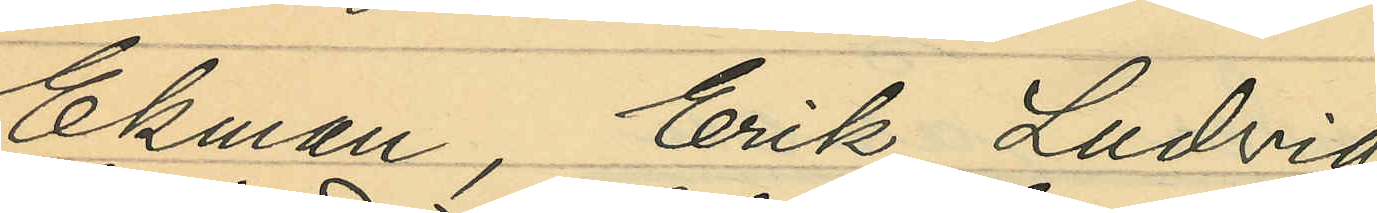Ekman, Erik Ludvig
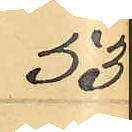53
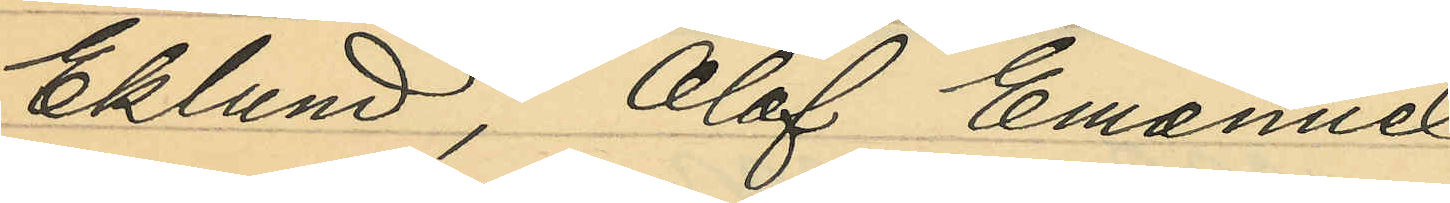Eklund, Olof Emauel
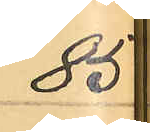85
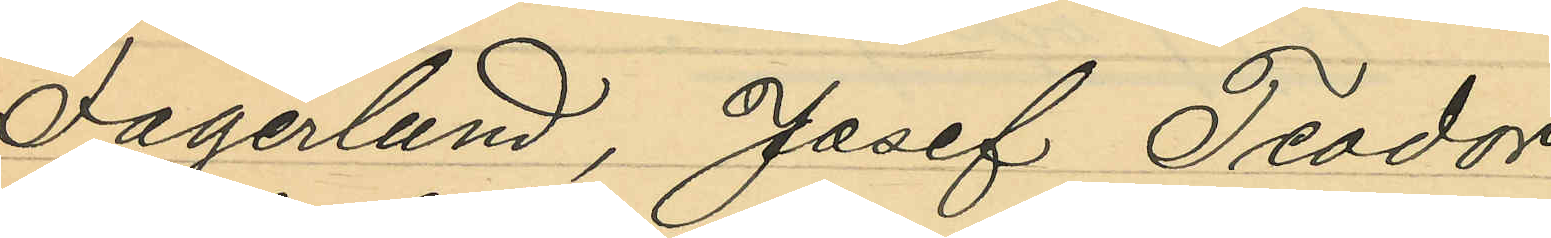Fagerlund, Josef Teodor
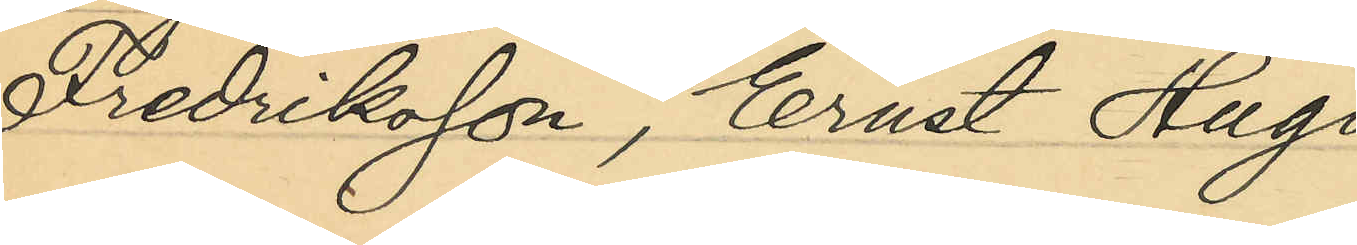Fredriksson, Ernst Hugo
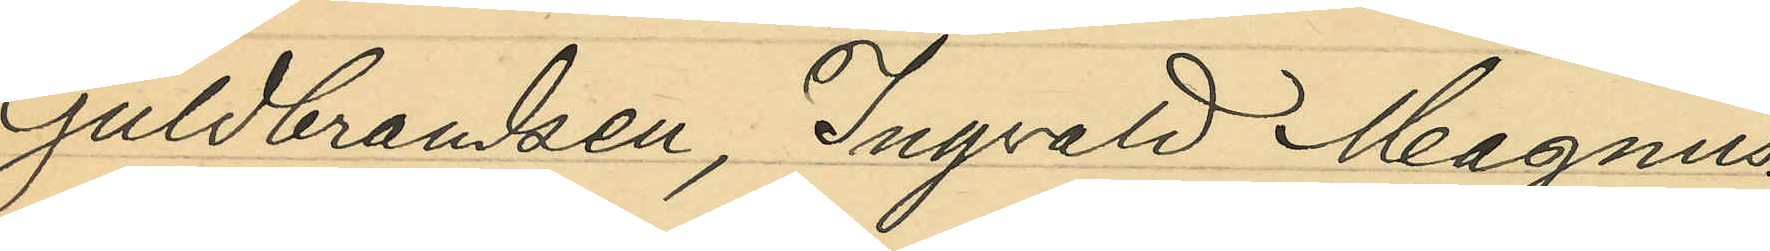Guldbrandsen, Ingvald Magnus
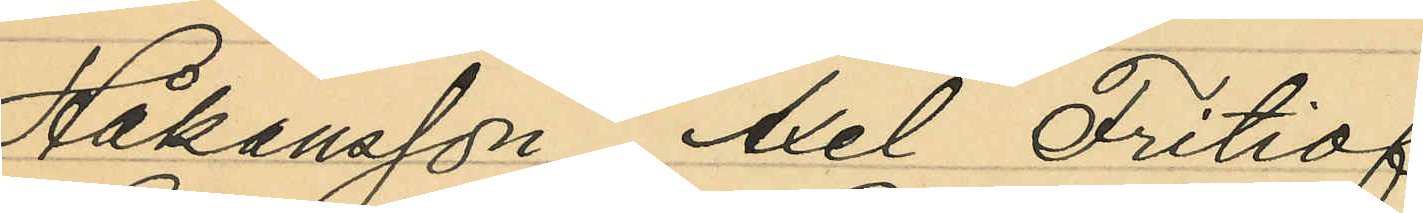Håkansson, Axel Fritiof
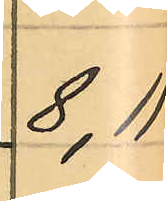8, 11
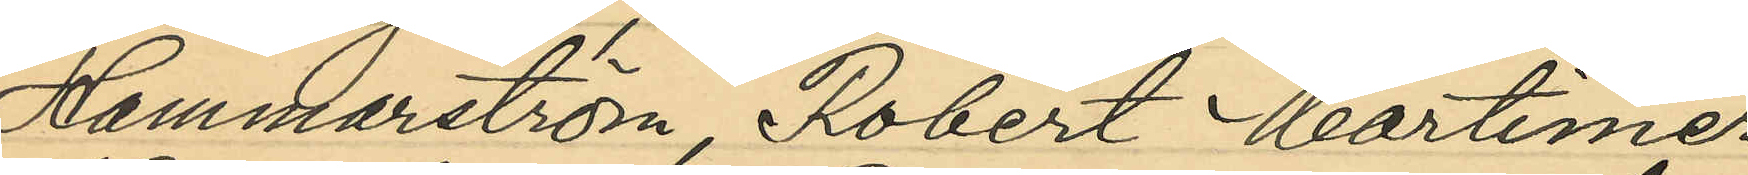Hammarström, Robert Mortimer
